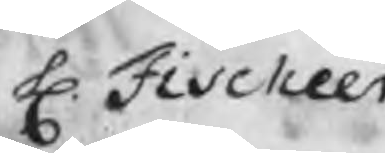H. Fischer
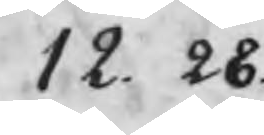12.28
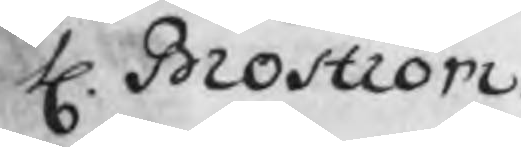H. Broström
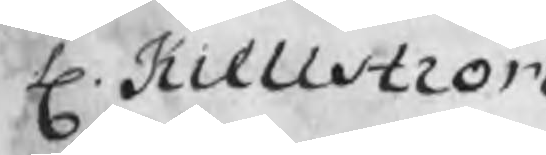H. Kiellström
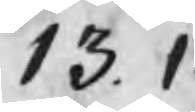13.1
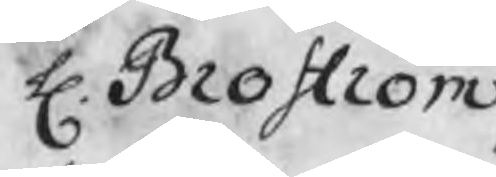H. Broström
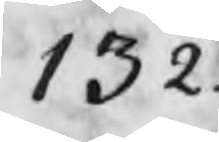13.2
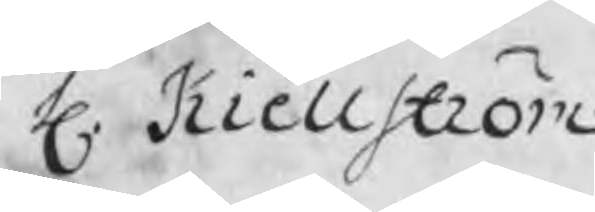H. Kiellström
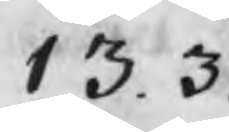13.3
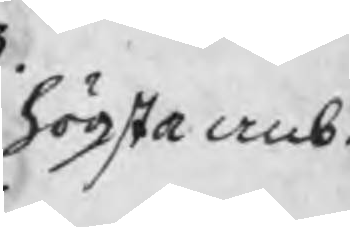högsta anb.
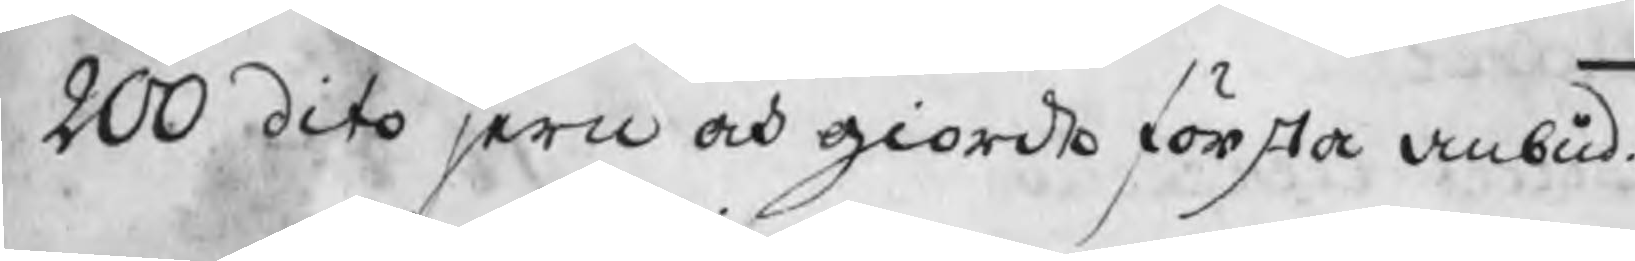200 dito jern och giorde första anbud.
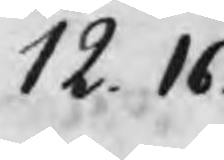12.16
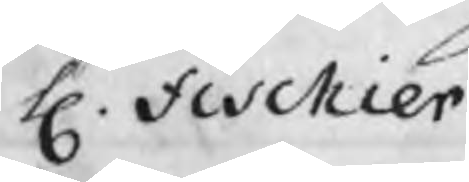H. Fischier
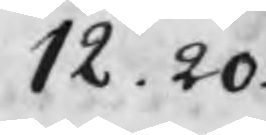12.20
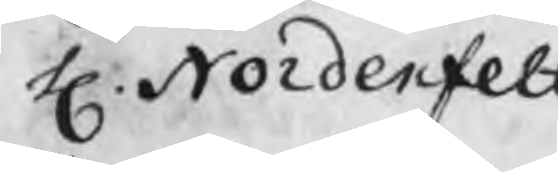H. Nordenfelt
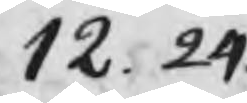12.24
